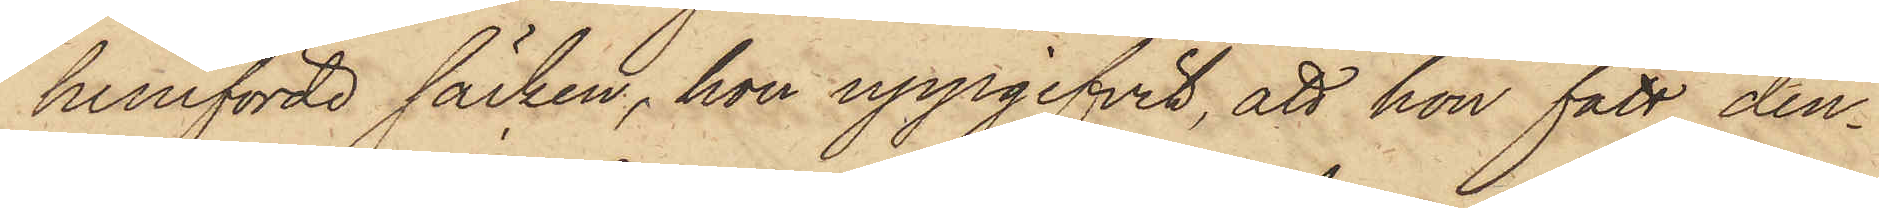hemförde säcken, hon uppgifvit, att hon fått den¬
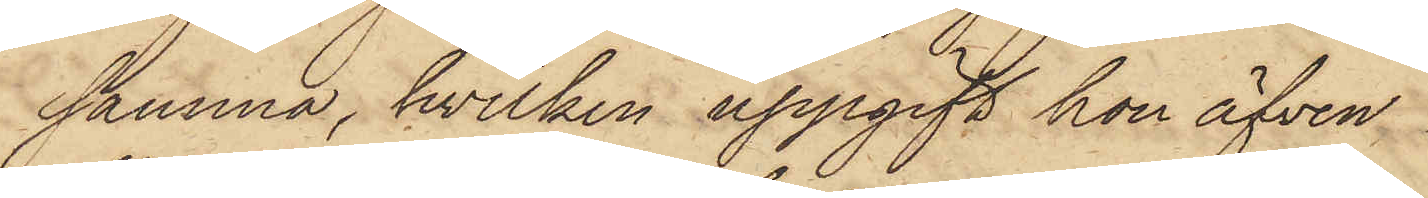samma, hvilken uppgift hon äfven
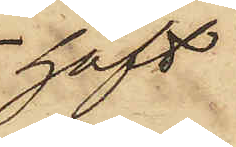haft
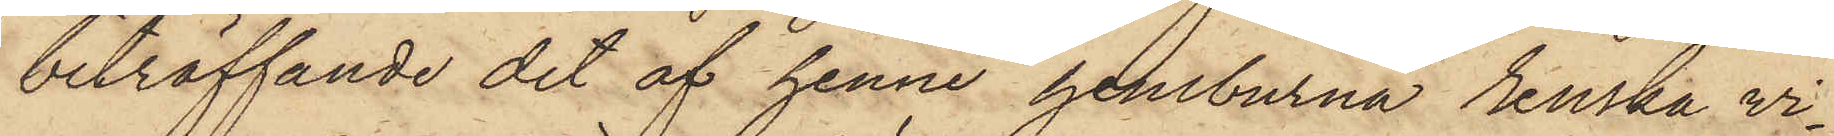beträffande det af henne hemburna renska vi¬
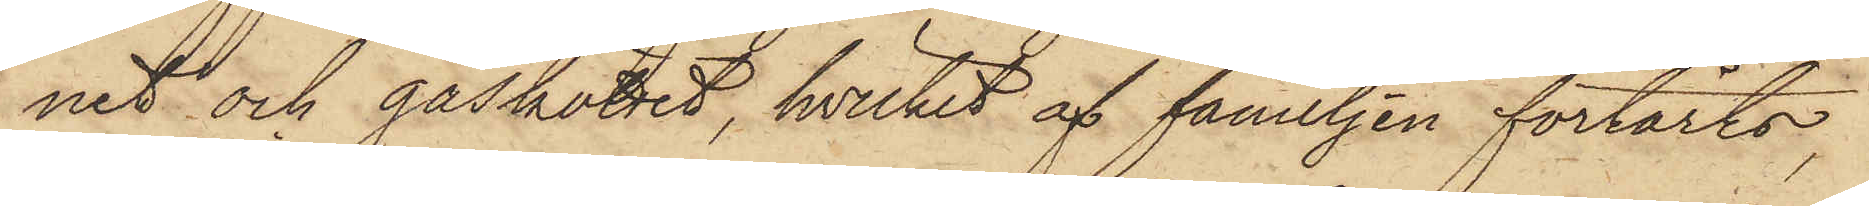net och gåsköttet, hvilket af familjen förtärts,
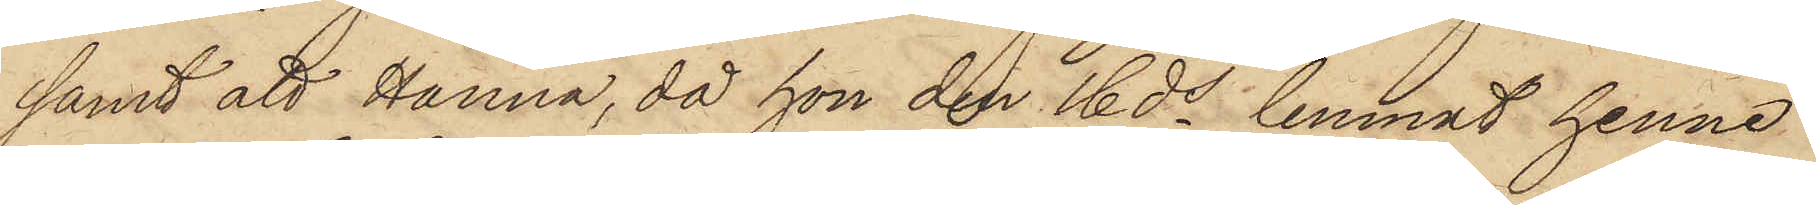samt att Hanna, då hon den 16 ds lemnat henne
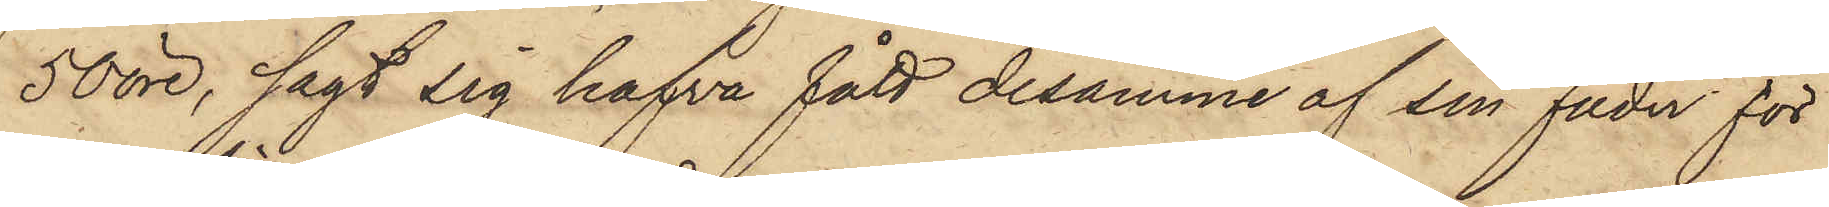50 öre, sagt sig hafva fått desamme af sin fader för
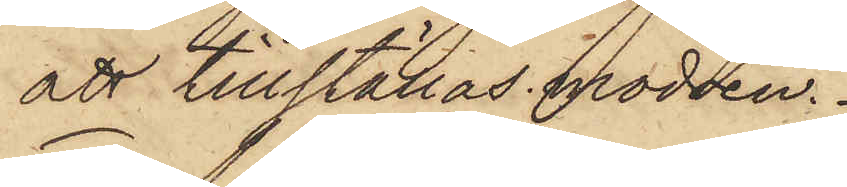att tillställas modren.
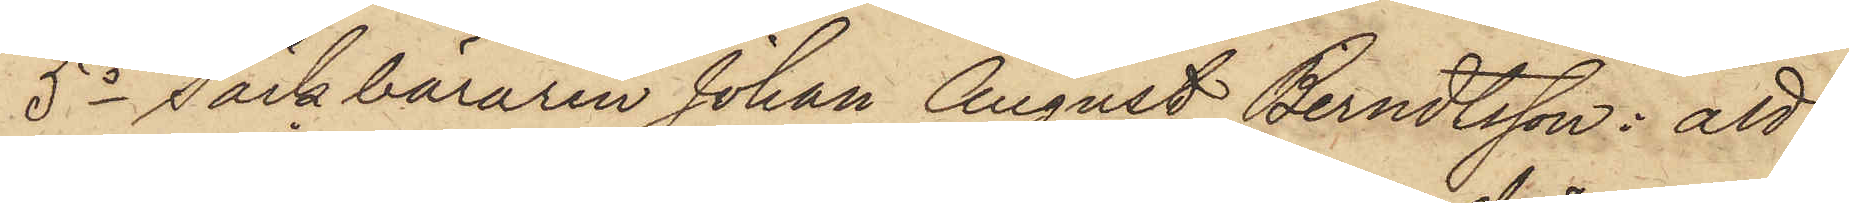5o Säckbäraren Johan August Berndtsson: att
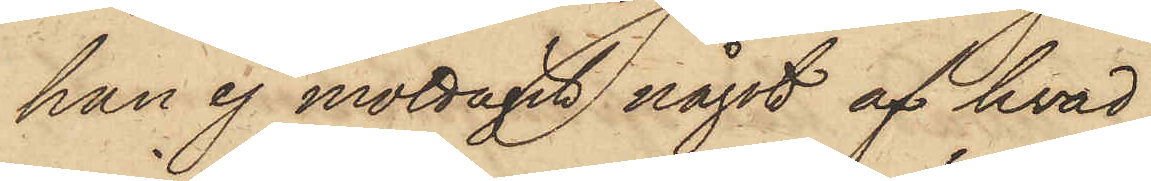han ej mottagit något af hvad
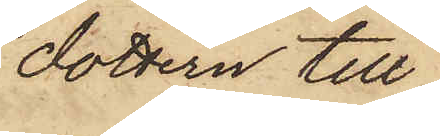dottern till¬
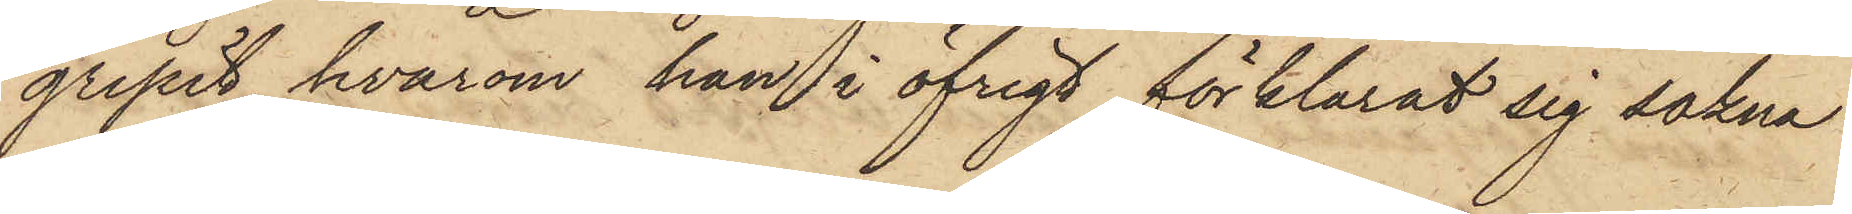gripit, hvarom han i öfrigt förklarat sig sakna
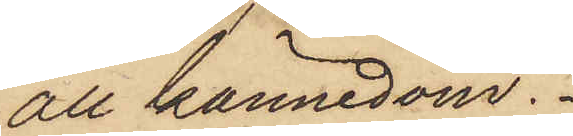all kännedom.
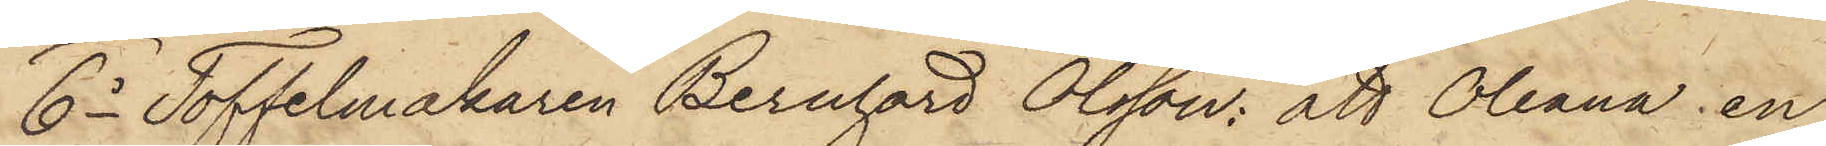6o Toffelmakaren Bernhard Olsson: att Oleana, en
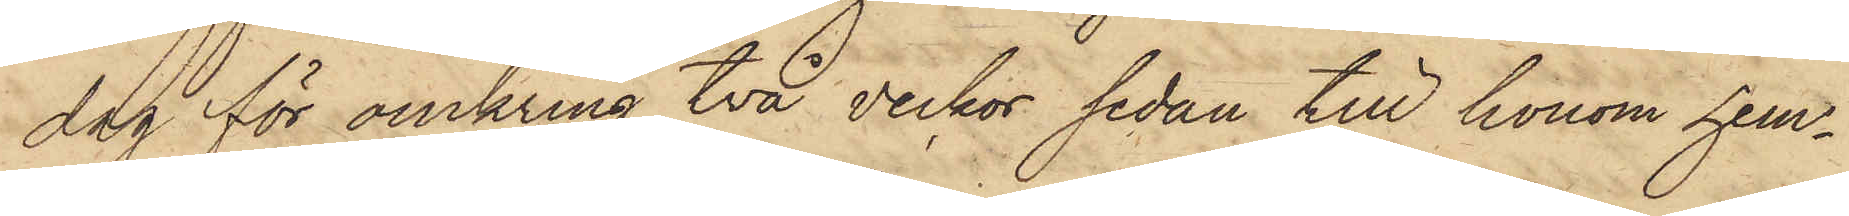dag för omkring två veckor, sedan till honom hem¬
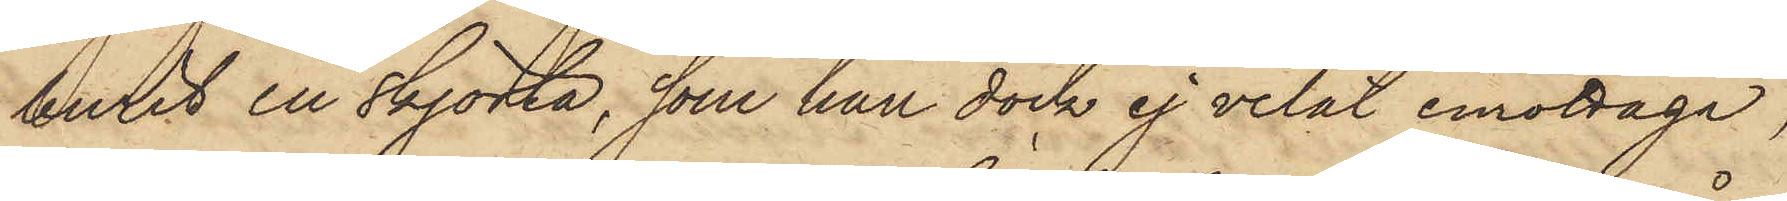burit en skjorta, som han dock ej velat emottaga,
